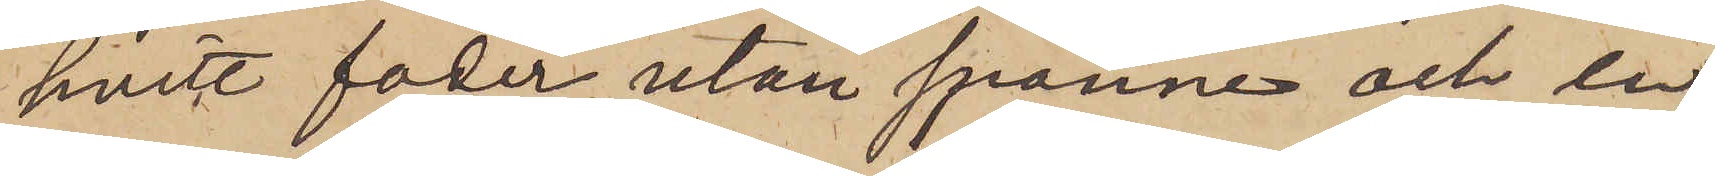hvitt foder utan spänne och en
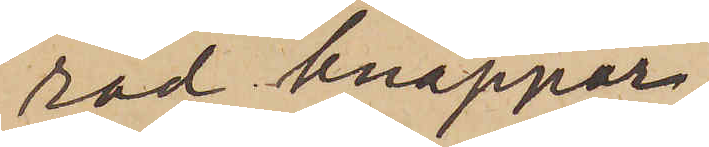rad knappar.
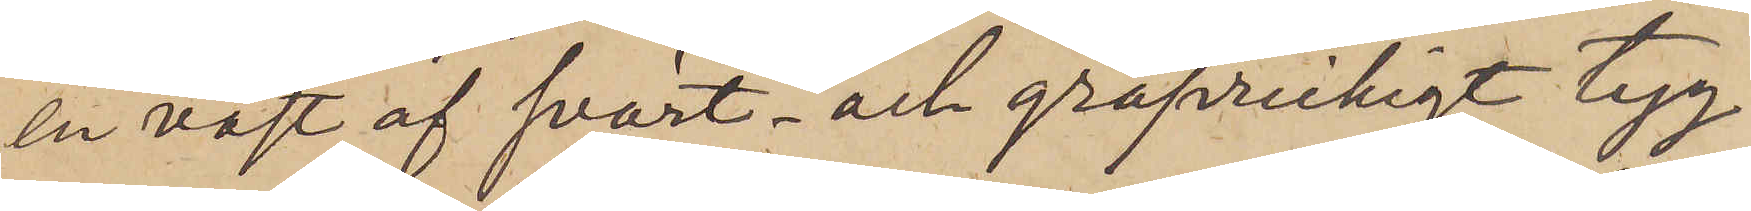en väst af svart och gråprickigt tyg
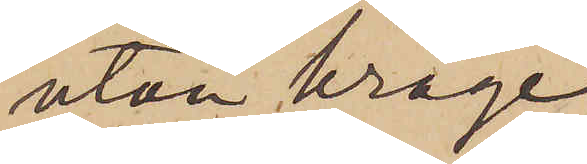utan krage,
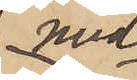med
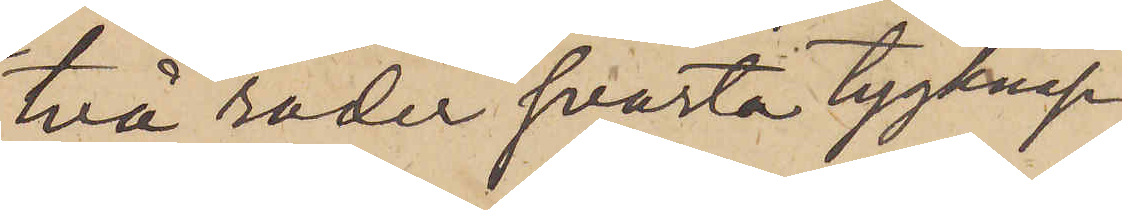två rader svarta tygknap¬
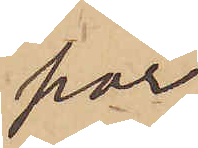par
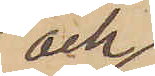och
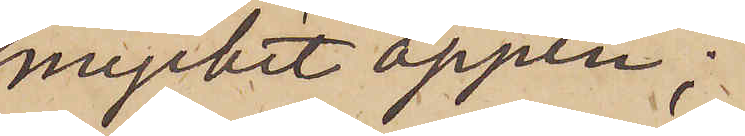mycket öppen;
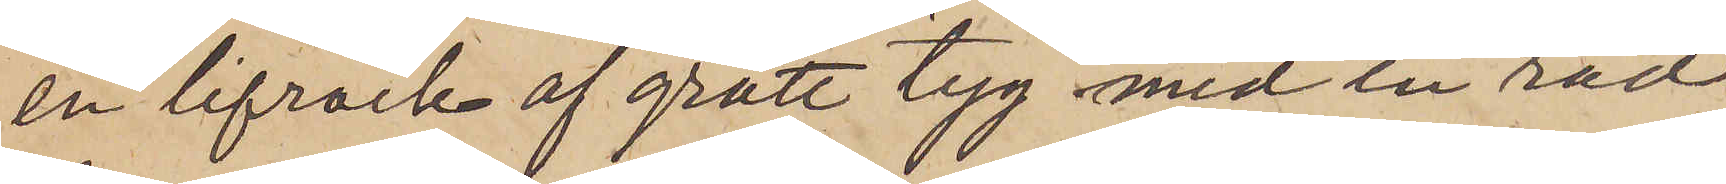en lifrock af grått tyg med en rad
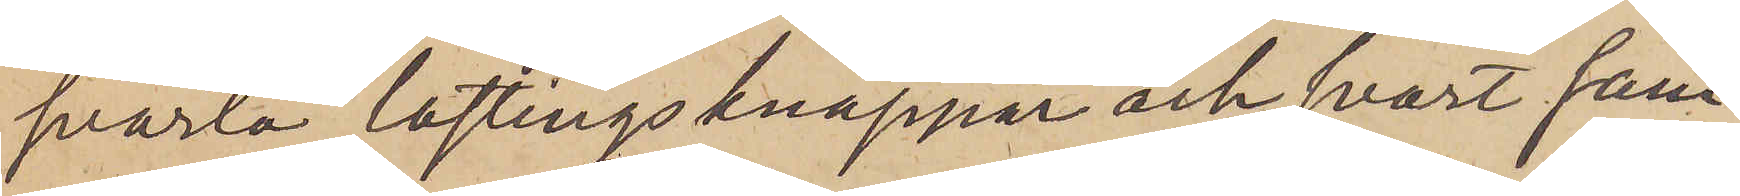svarta lastingsknappar och svart sam¬
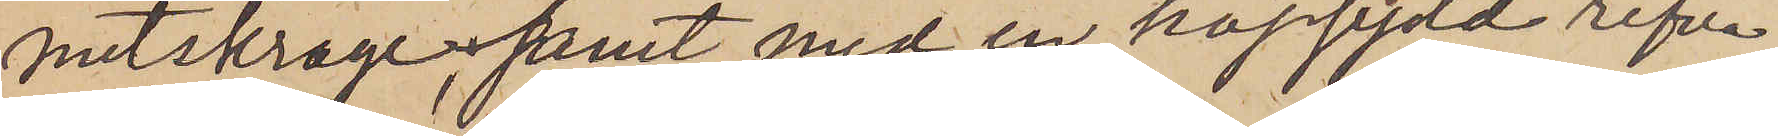metskrage, samt med en hopsydd rifva
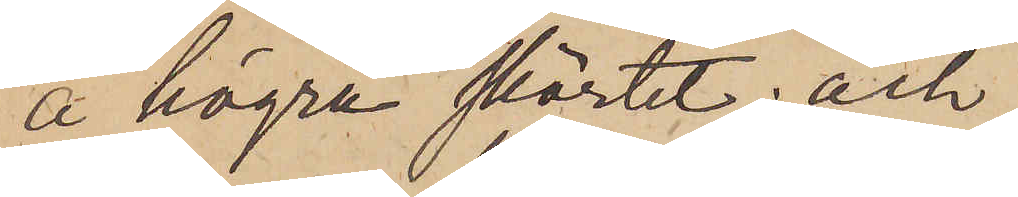å högra skörtet; och
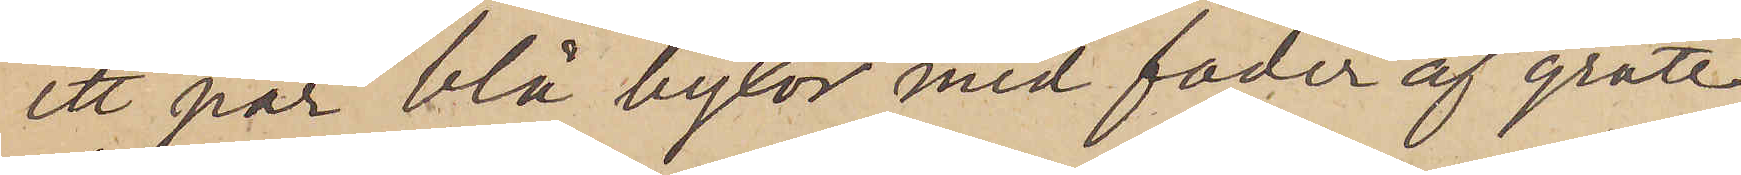ett par blå byxor med foder af grått
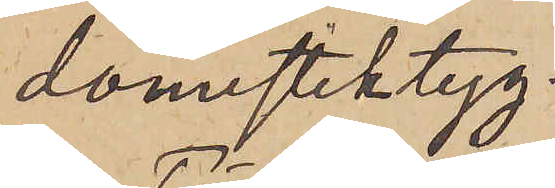domestiktyg.
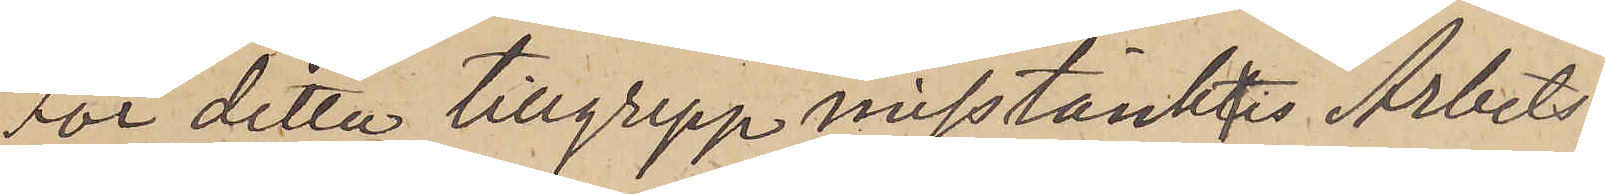För detta tillgrepp misstänktes Arbets¬
